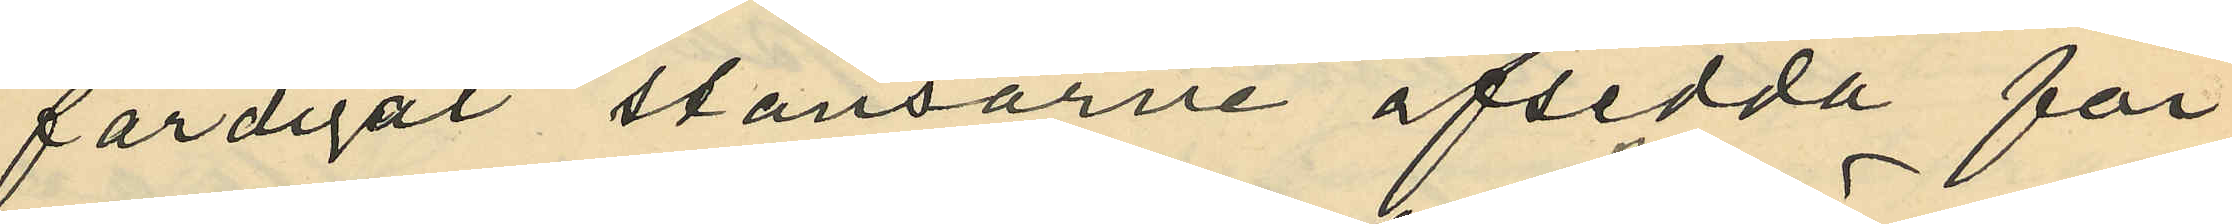färdigat stansarne afsedda för
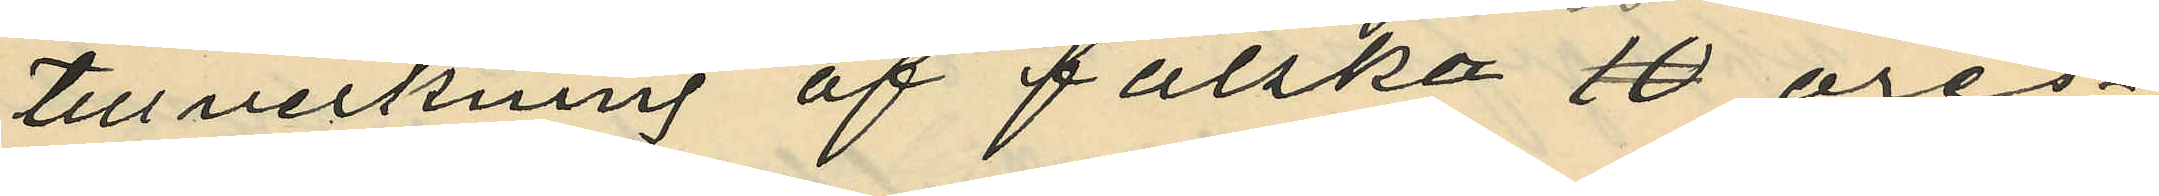tillveckning af falska 25 öres¬
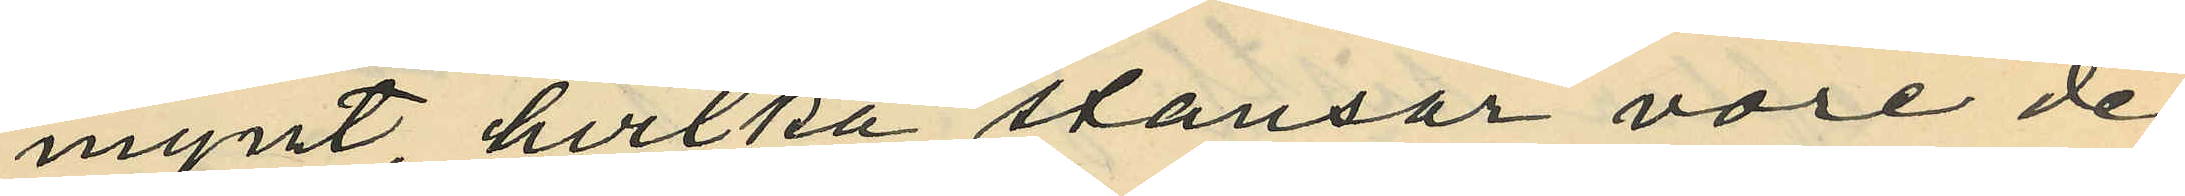mynt, hvilka stansar vore de
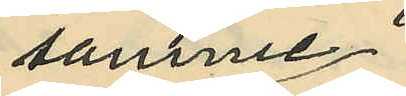samme
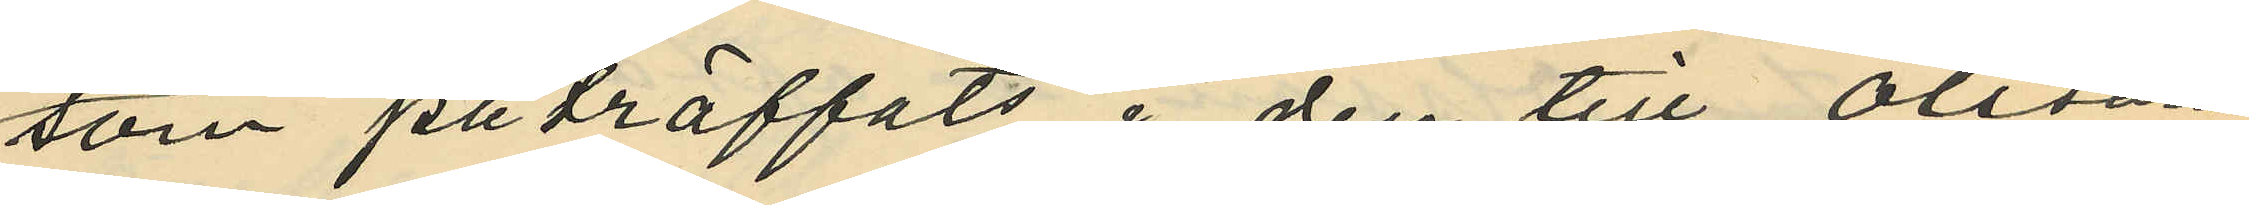som påträffats i den till Olssons
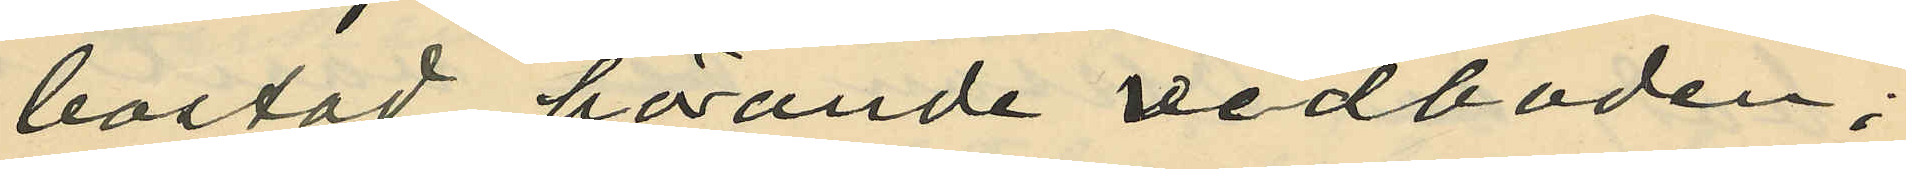bostad hörande vedboden;
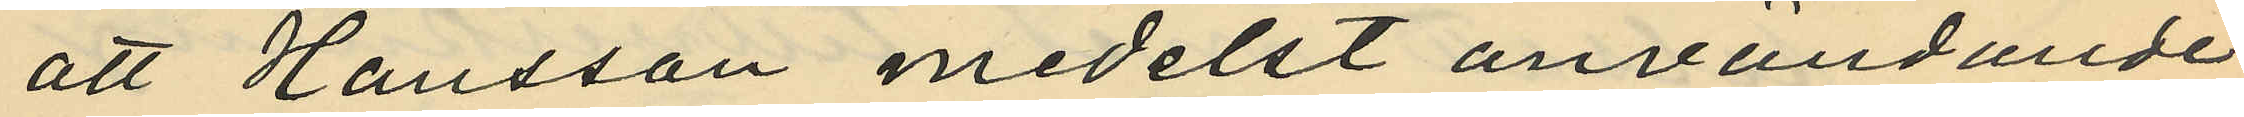att Hansson medelst användande
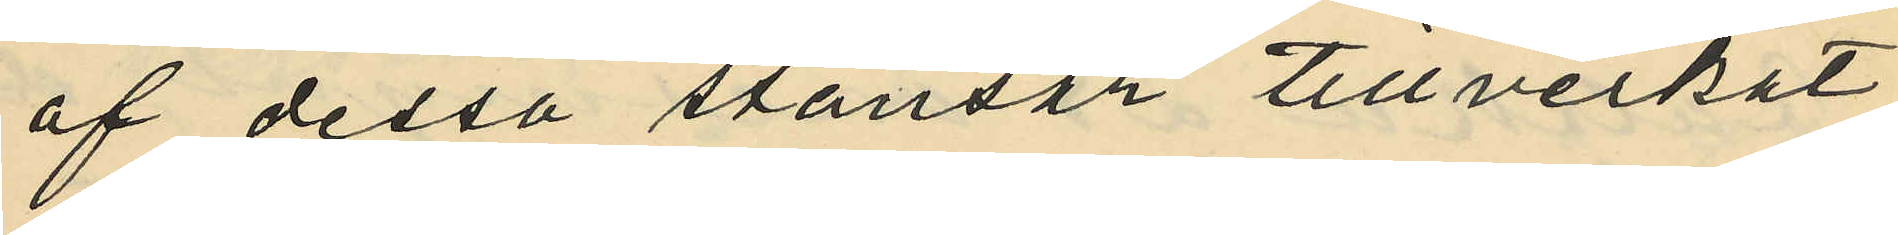af dessa stansar tillverkat
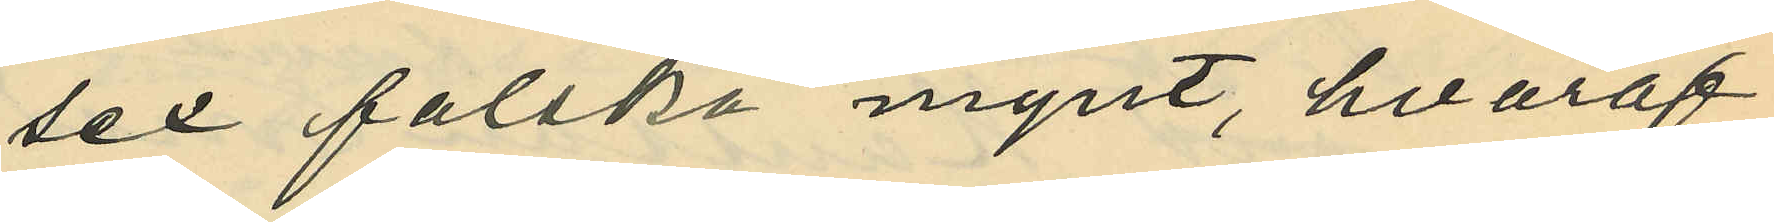sex falska mynt, hvaraf
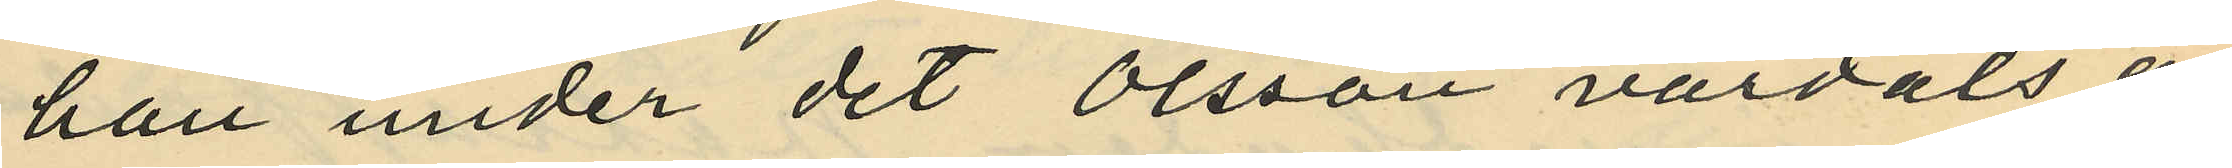han under det Olsson vårdats å
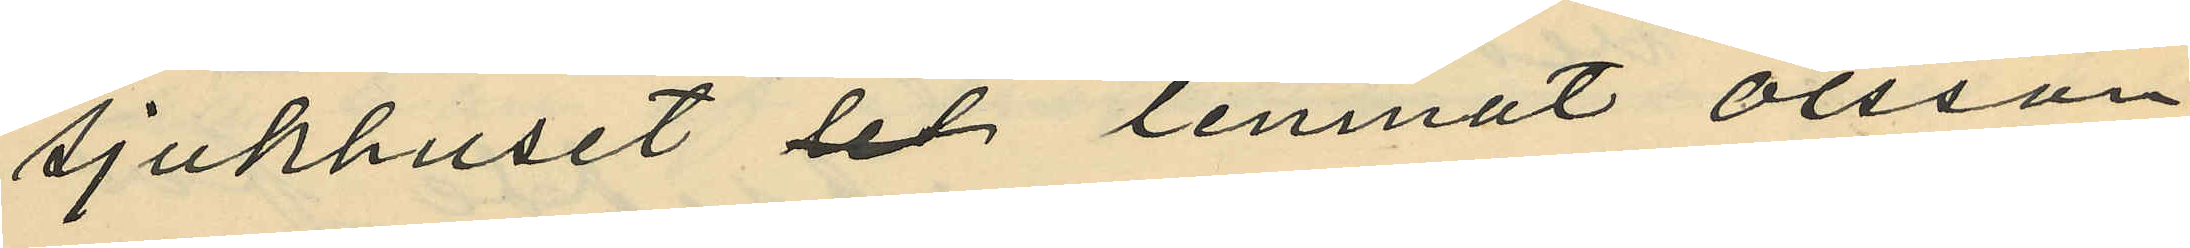sjukhuset lemnat Olsson
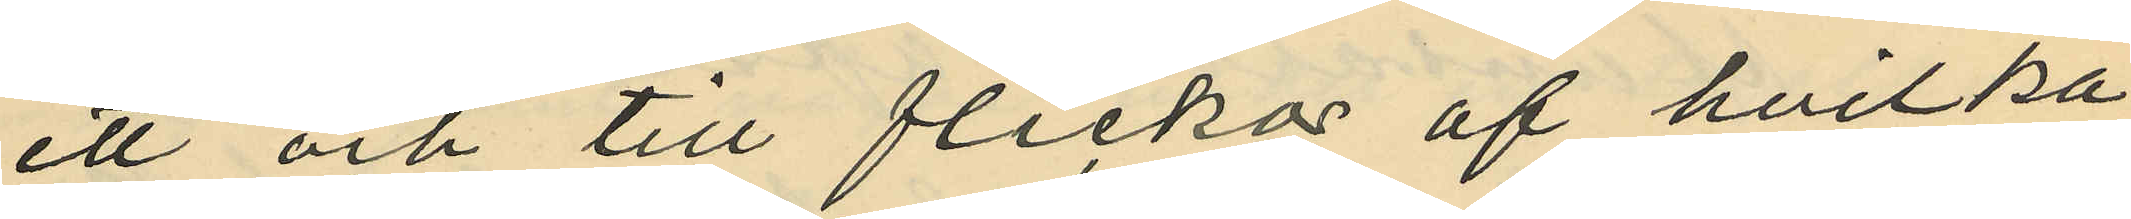ett och till flickor af hvilka
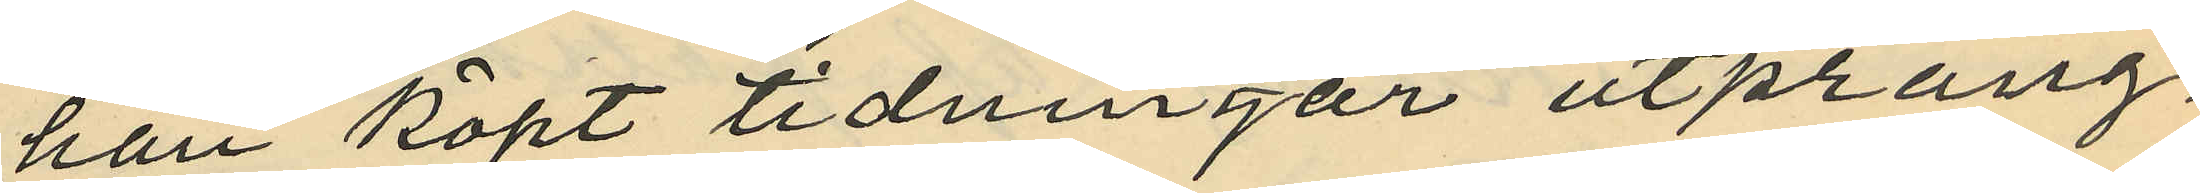han köpt tidningar utprång¬
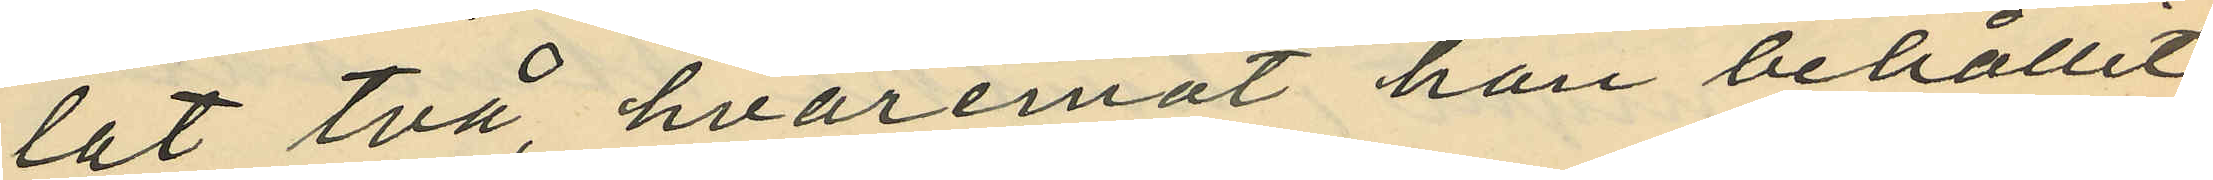lat två, hvaremot han behållit
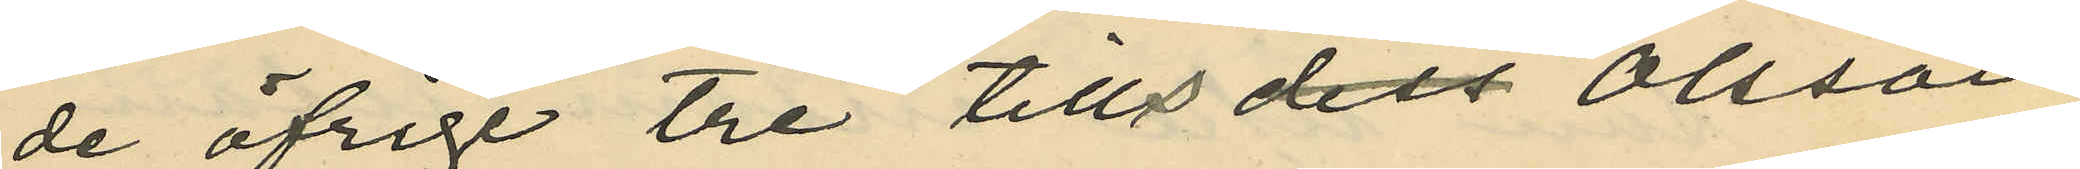de öfrige tre tills Olsson
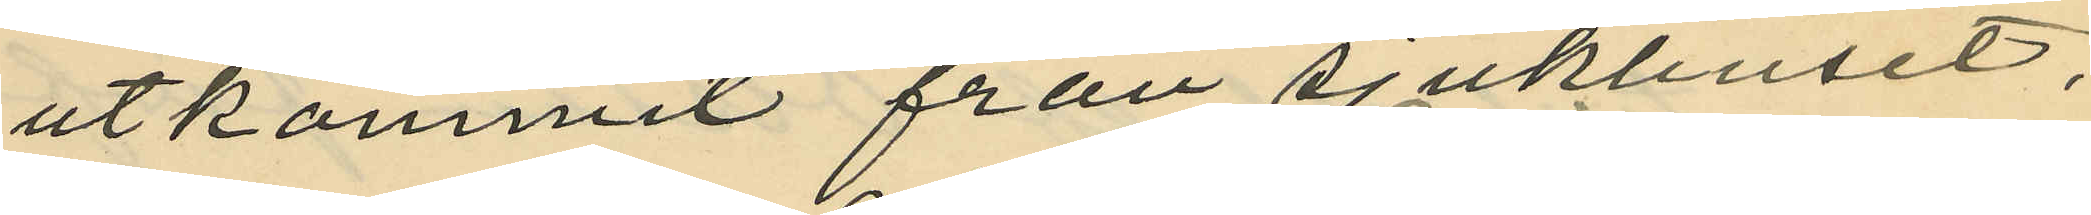utkommit från sjukhuset,
